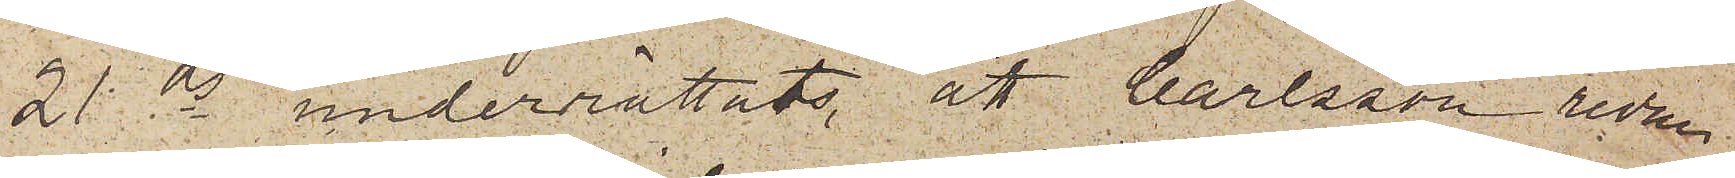21 ds underrättats, att Carlsson redan
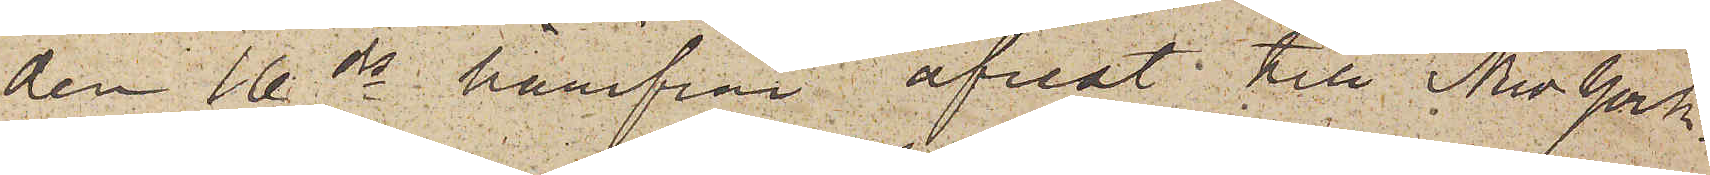den 16 ds härifrån afrest till New York.
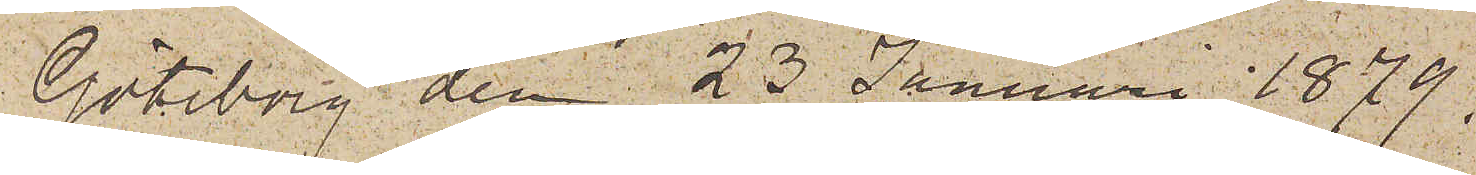Göteborg den 23 Januari 1879.
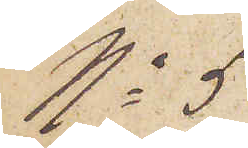No 5
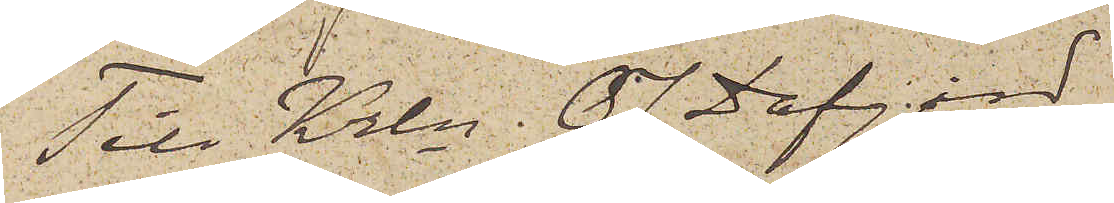Till Krln O J. Dafgård
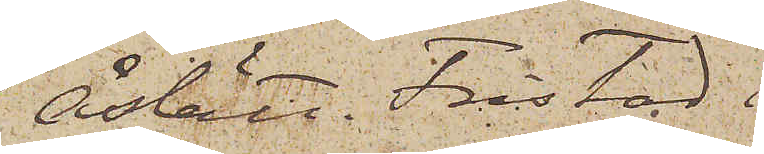Åslätt. Fristad.
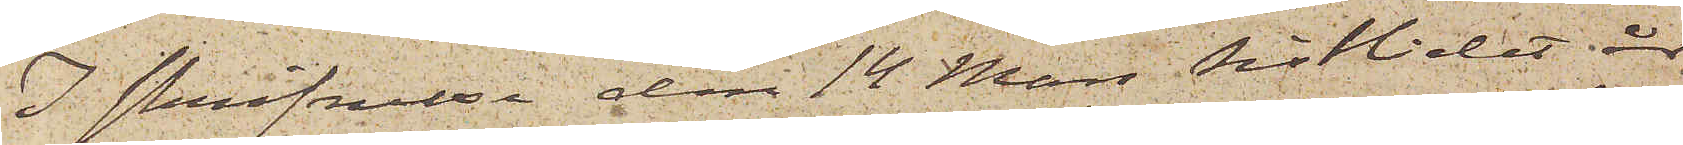I skrifvelse den 14 Mars sistlidet år
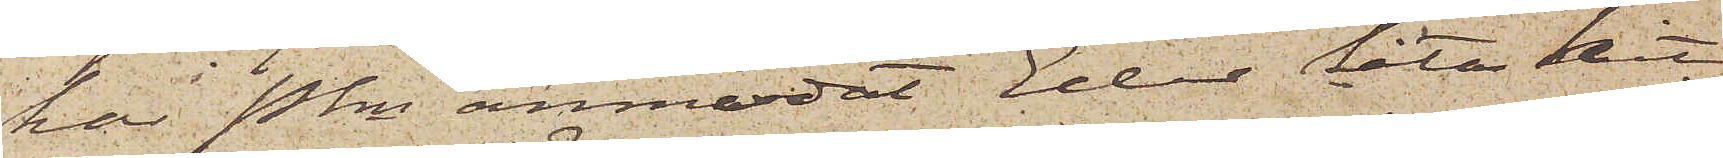har Pkn anmodat Eder låta hit
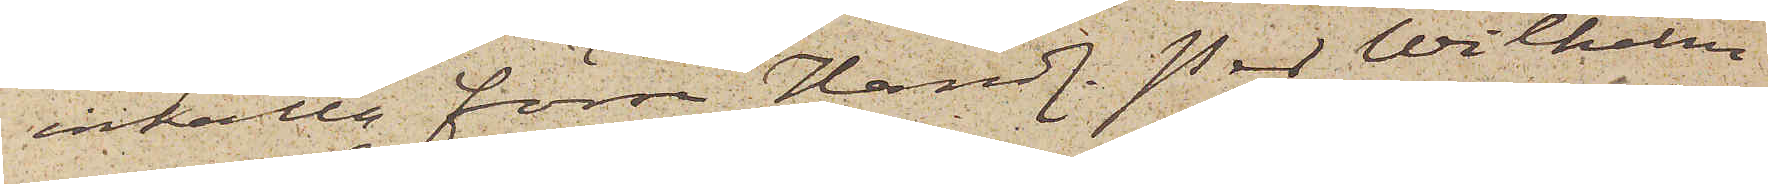inkalla förre Handl. Per Wilhelm
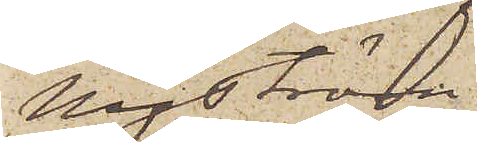Nyström
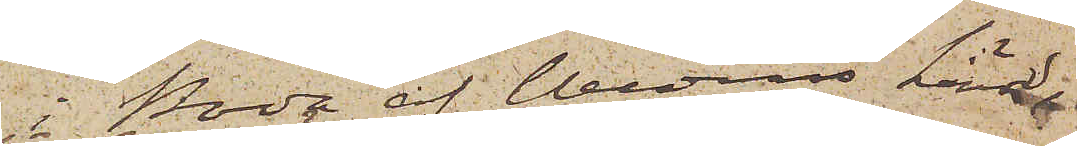i Boda af Wedens härad
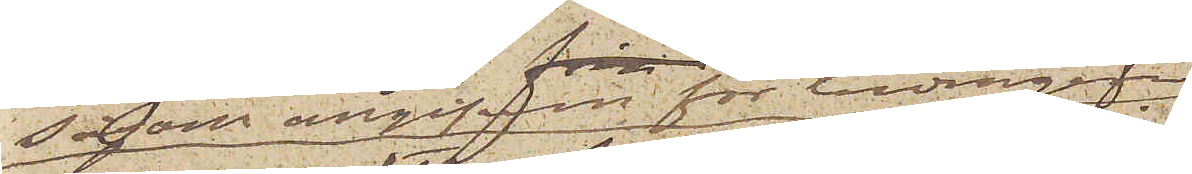såsom angifven för bedrägeri
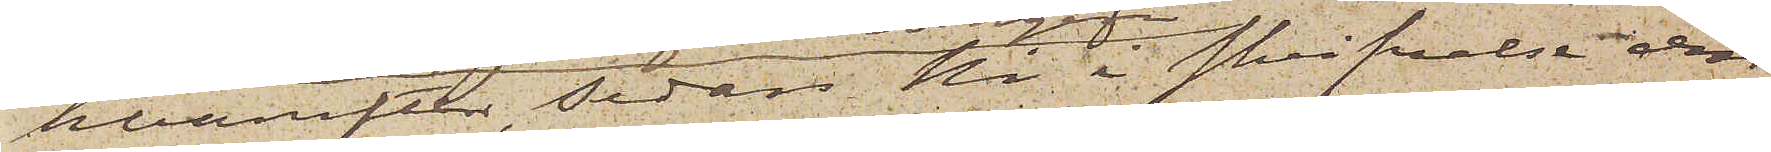hvarefter, sedan Ni i skrifvelse den
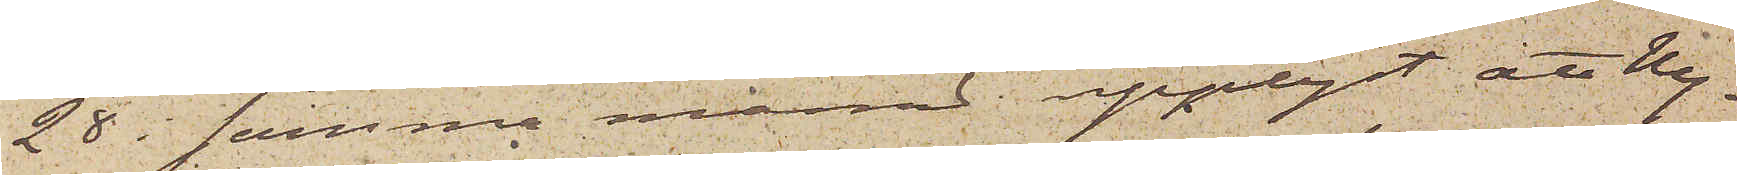28 i samma månad upplyst, att Ny¬
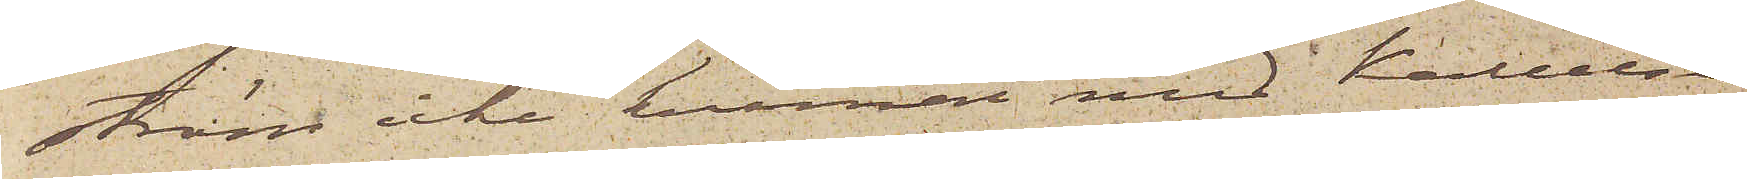ström icke kunnat med Kallelse
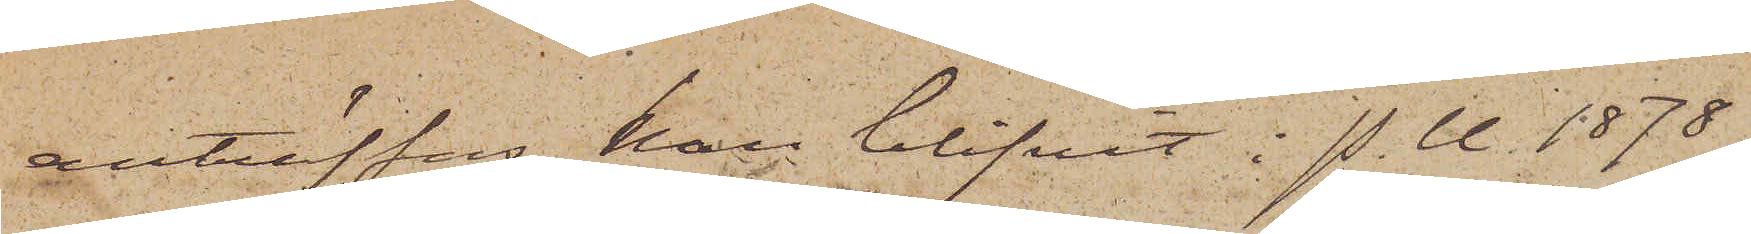anträffas, han blifvit i P.U. 1878
